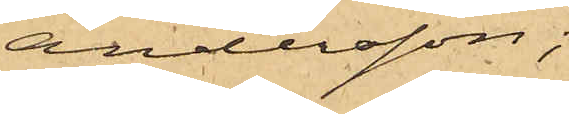Andersson;
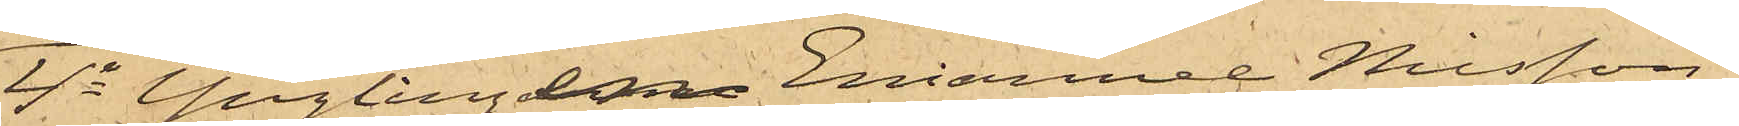4o Ynglingen Emanuel Nilsson,
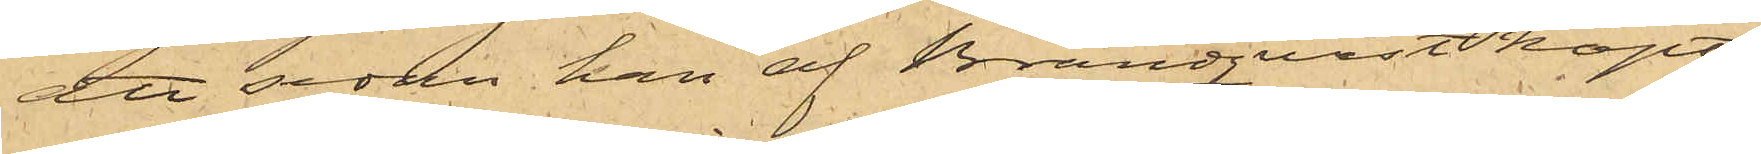att sedan han af Brandqvist köpt
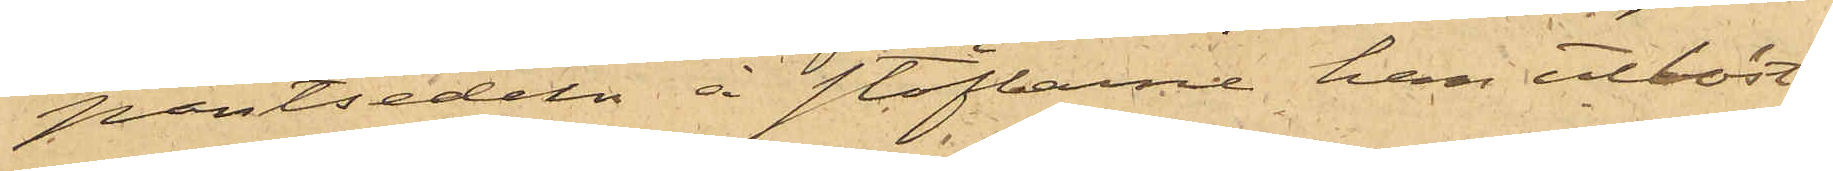pantsedeln å stöflarne han utlöst
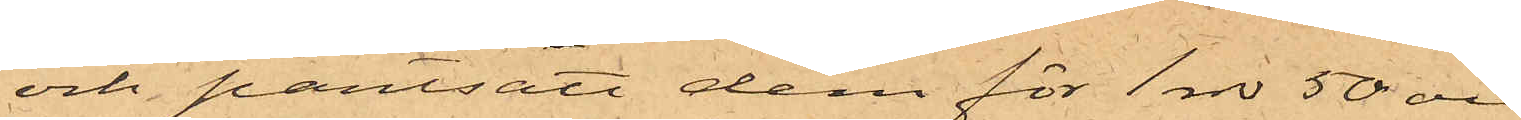och pantsatt dem för 1 rdr 50 öre
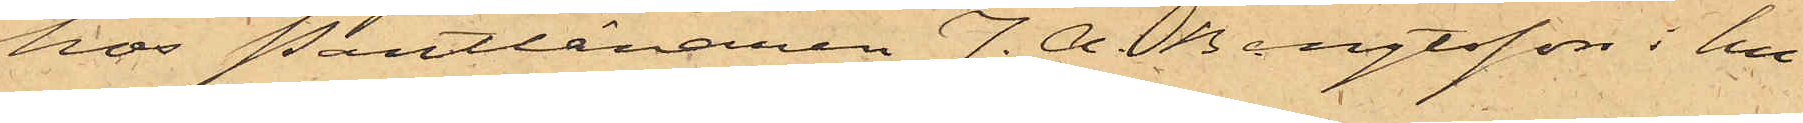hos Pantlånaren J. A. Bengtsson i hu¬
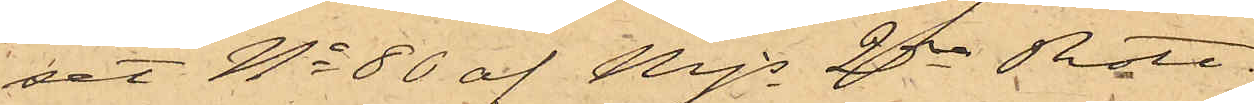set No 80 af Mjs 2dra Rote.
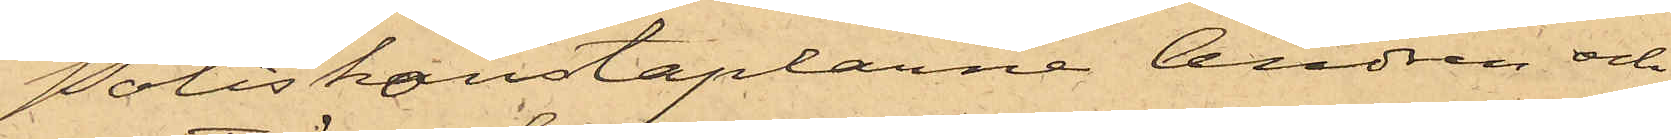Poliskonstaplarne Andrén och
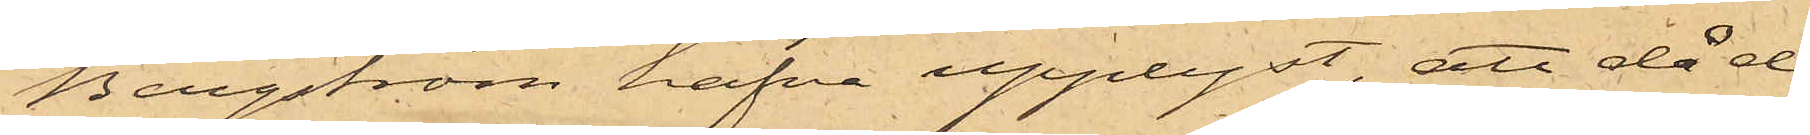Bergström hafva upplyst, att då de
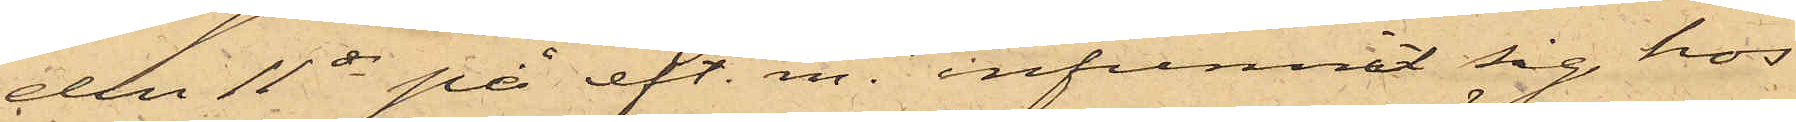den 11 ds på eft. m. infunnit sig hos
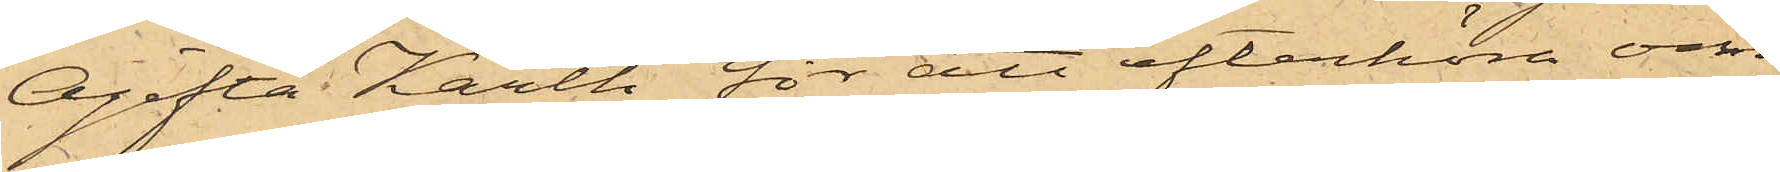Ogifta Karth för att efterhöra om
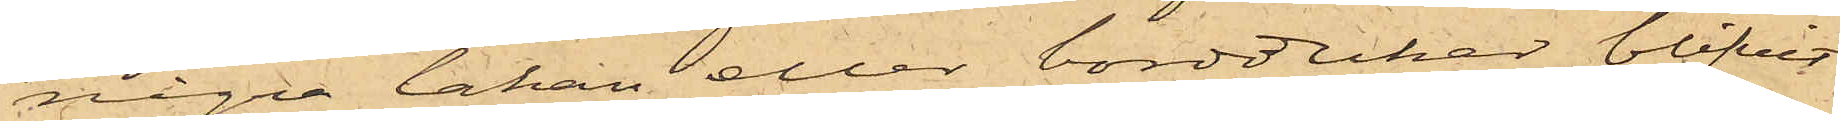några lakan eller borddukar blifvit
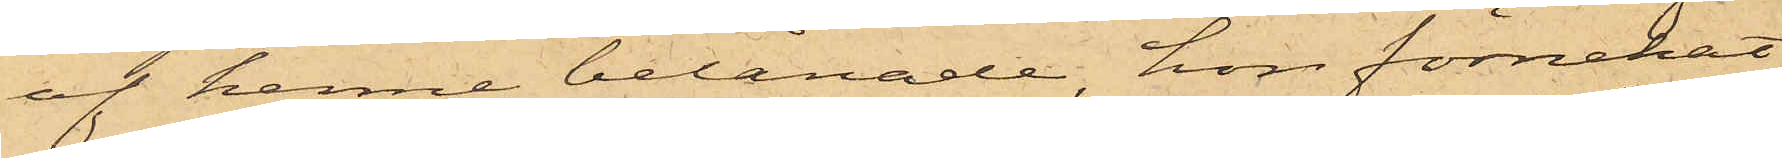af henne belånade, hon förnekat
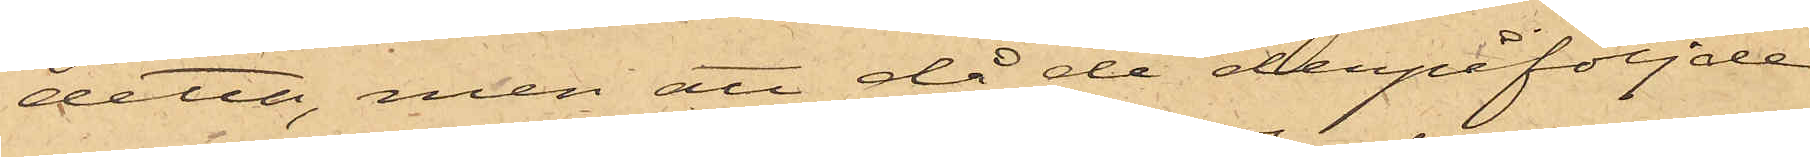detta, men att då de derpåföljde
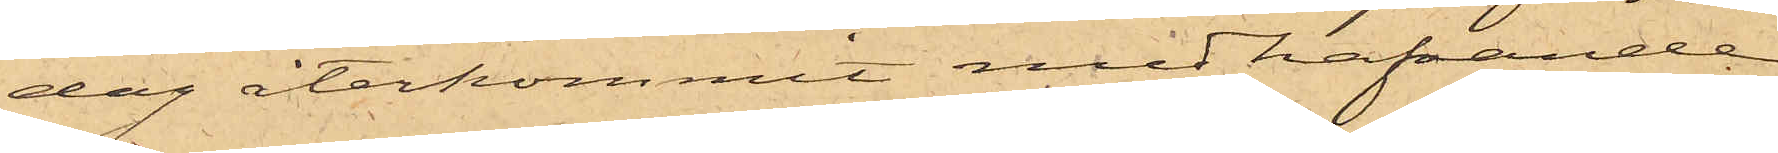dag återkommit medhafvande
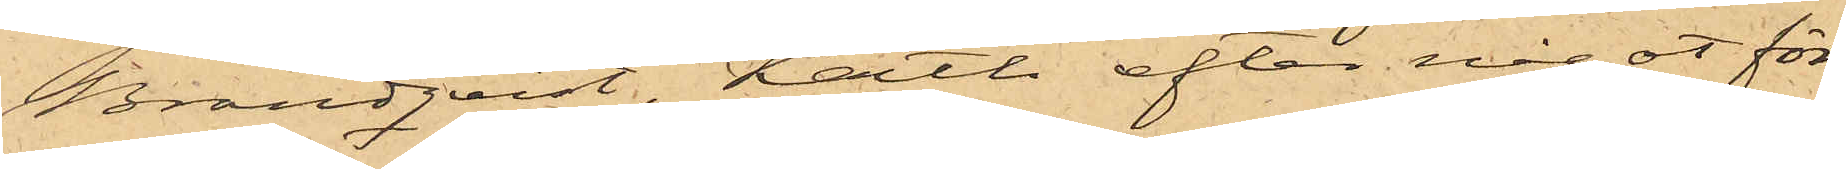Brandqvist, Karth efter något för¬
